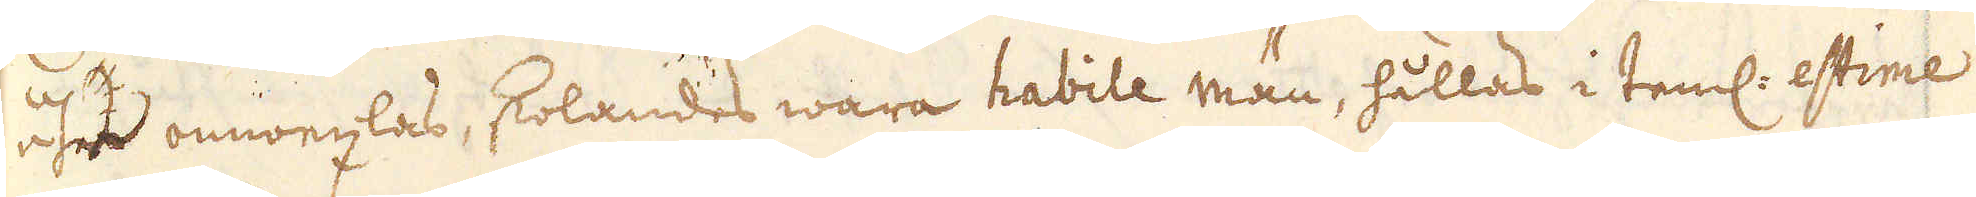åhr omwexlas, skolandes wara habile män, hållas i teml. estime
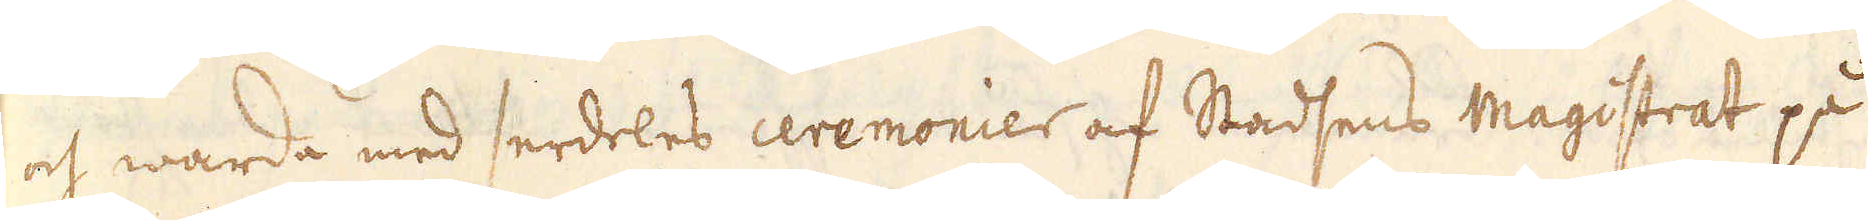och warda med serdeles ceremonier af Stadsens Magistrat på
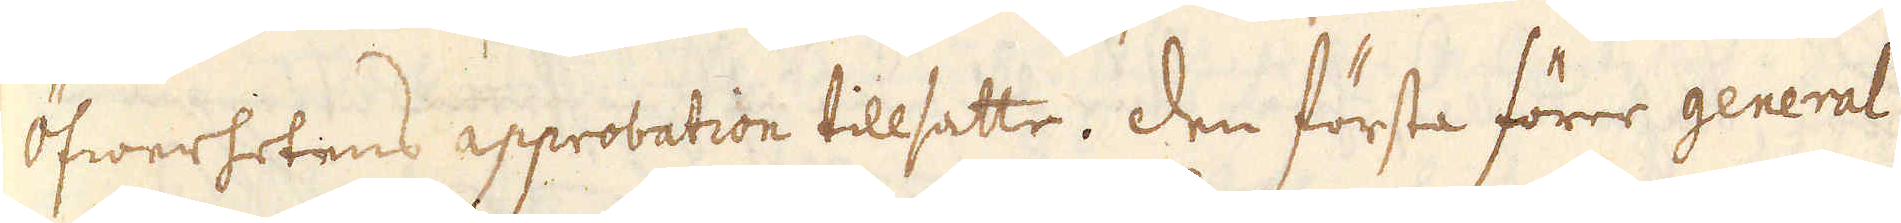öfwerhetens approbation tillsatte. Den första förer general
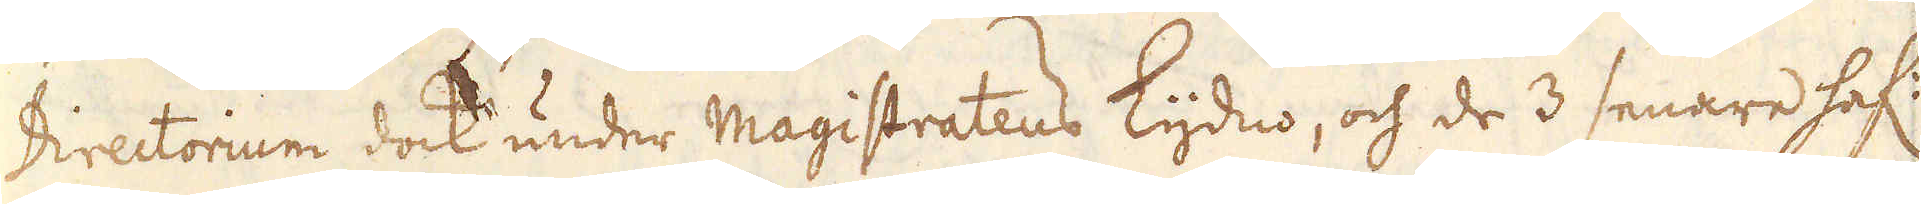Directorium dock under Magistratens Lydno, och de 3 senare haf:
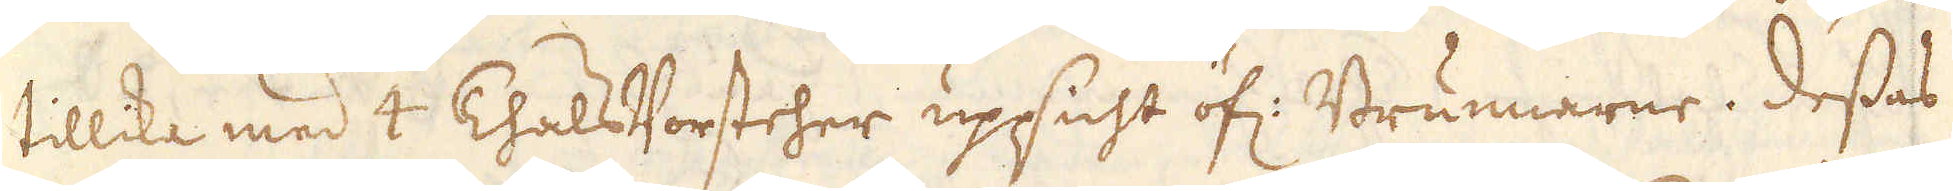tillika med 4 Thals Vorsteher uppsicht öf: Brunnarne. Dessas
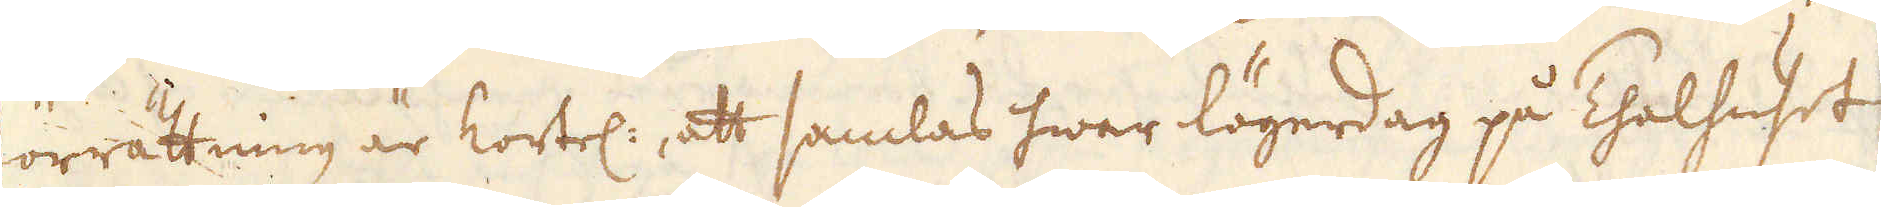förrättning är kortel:, att samlas hwar lögerdag på Thalhuset
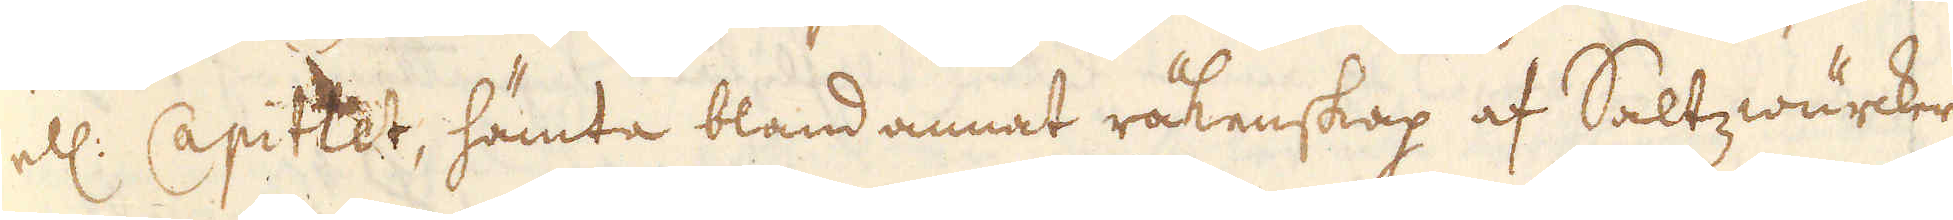ell: Capitlet, hämta bland annat räkenskap af Saltzwärcker-
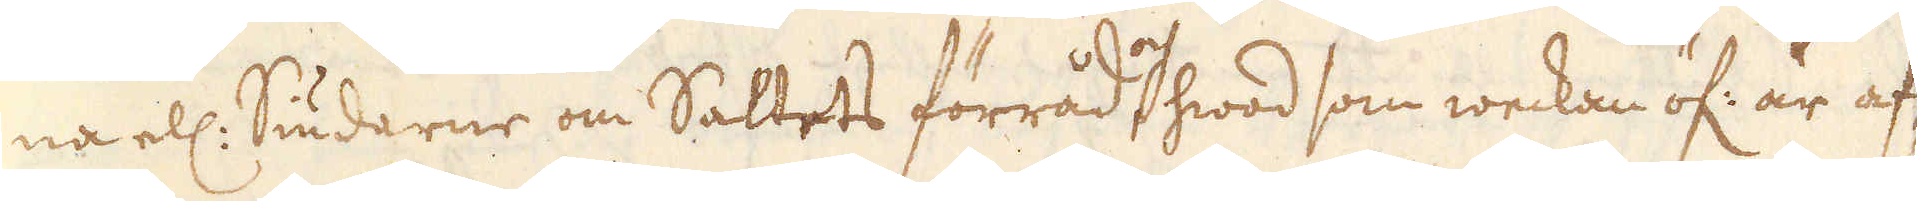na ell: Siudarne om Saltets förråd, och hwad som weckan öf: är af-
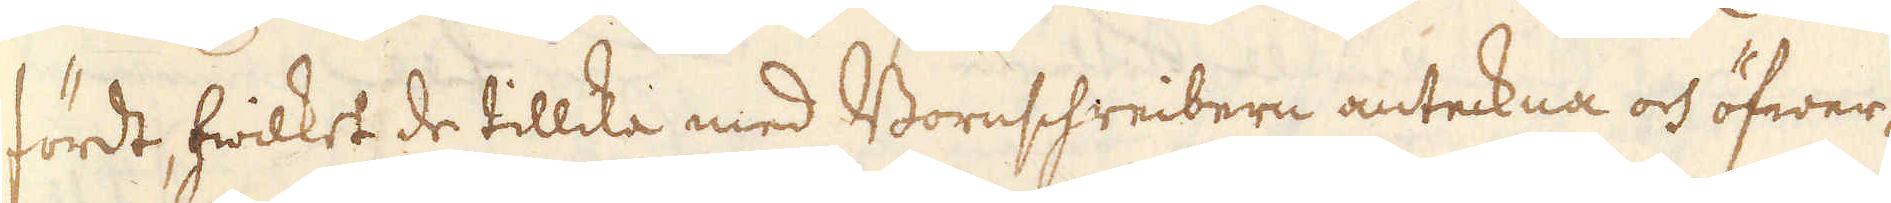fördt, hwilket de tillika med Bornschreibern anteckna och öfwer-
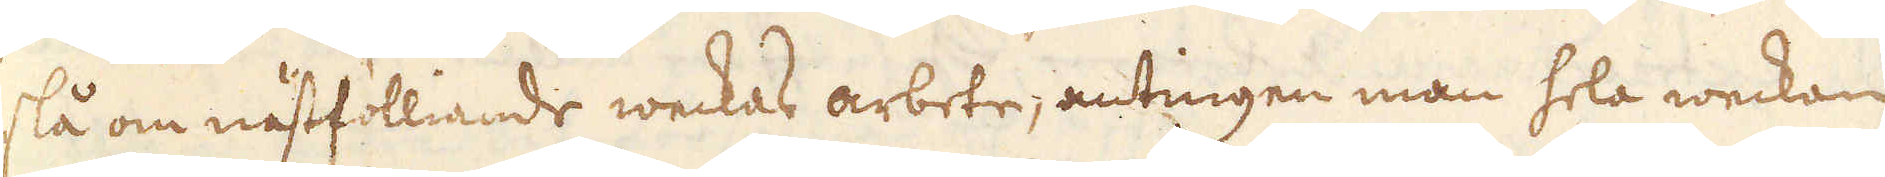slå om nästfölliande weckas arbete; antingen man hela weckan
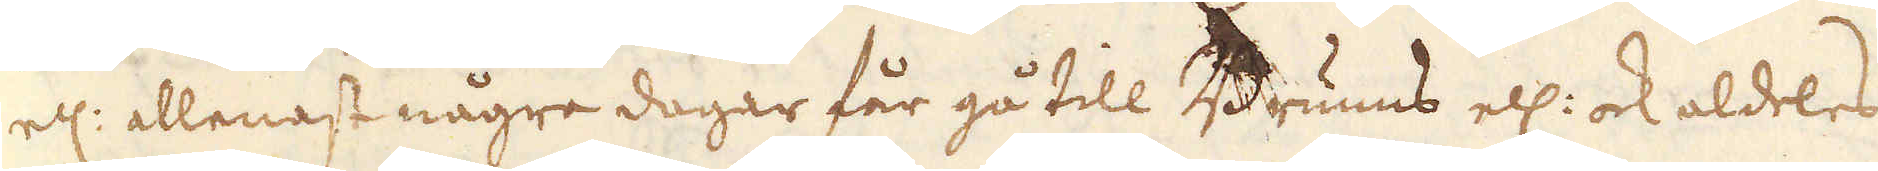ell: allenast några dagar får gå till Brunns ell: ock aldeles
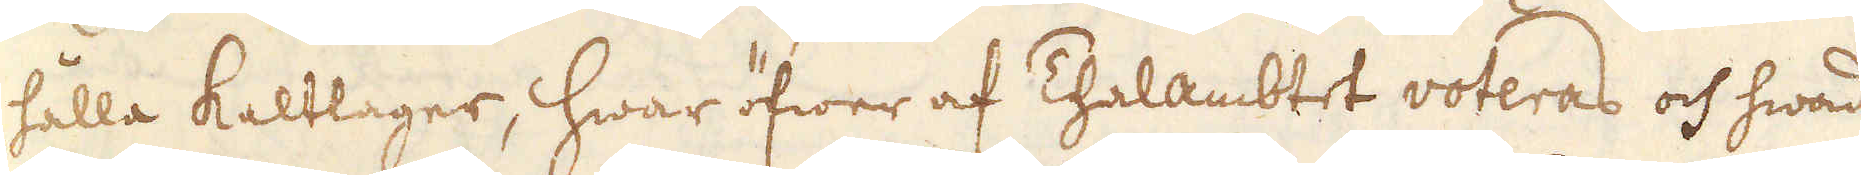hålla Kaltlager, hwar öfwer af Thalambtet voteras och hwad
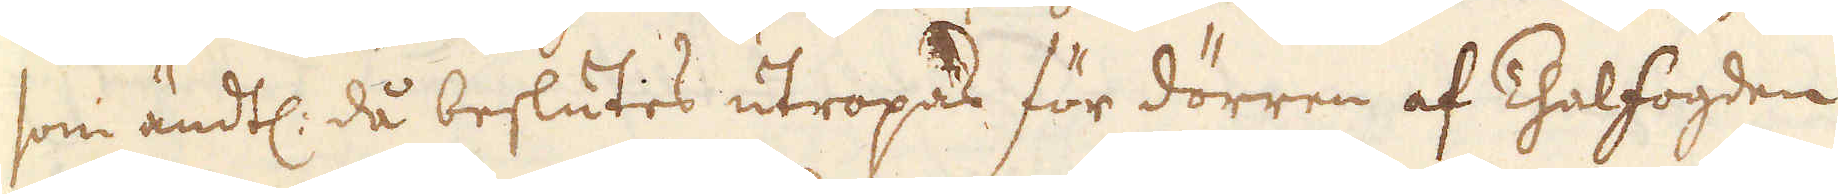som ändtl: då beslutes utropas för dörren af Thalfogden
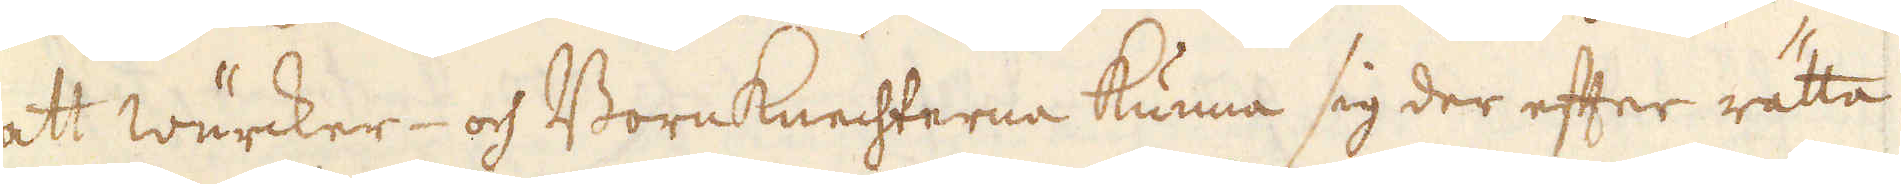att wärcker- och BornKnechterna kunna sig der efter rätta.
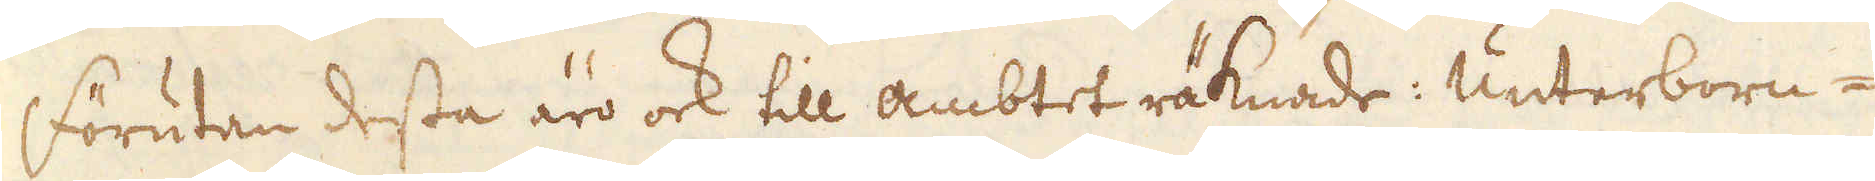Förutan dessa äro ock till ambtet räknade: Unterborn-
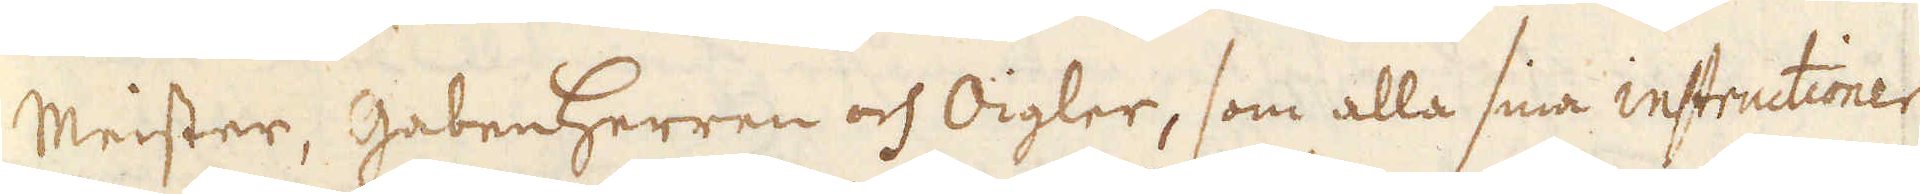Meister, GabenHerren och Oigler, som alla sina instructioner
